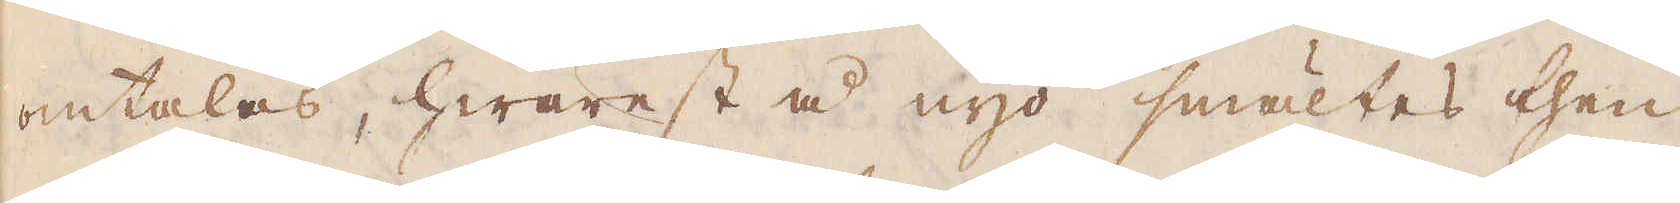omtalas, hwarest å nyo smältes then
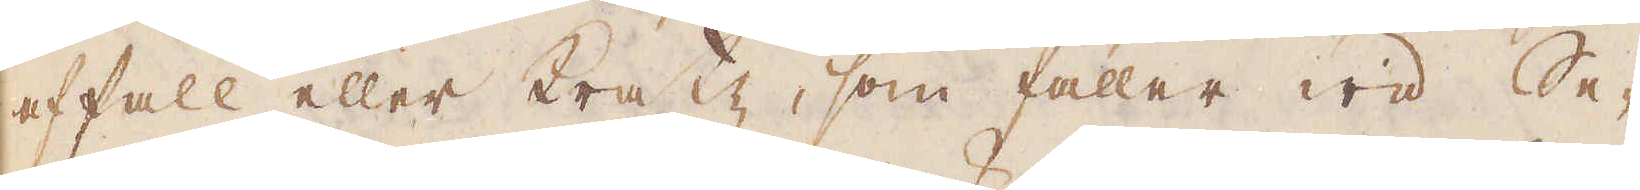affall eller Pratz, som faller wid Se-
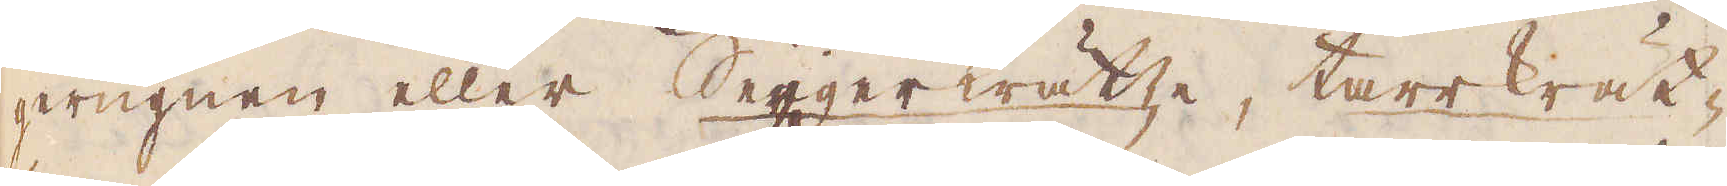gerugnen eller Seigerkrätze, tarrkrät-
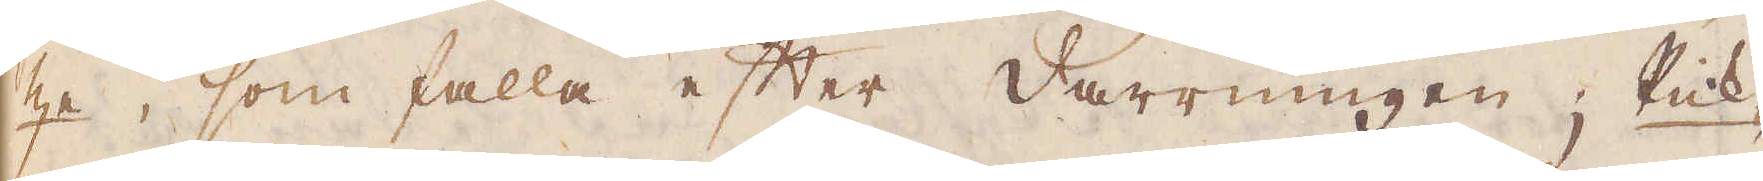ze, som falla efter darrningen; Rick-
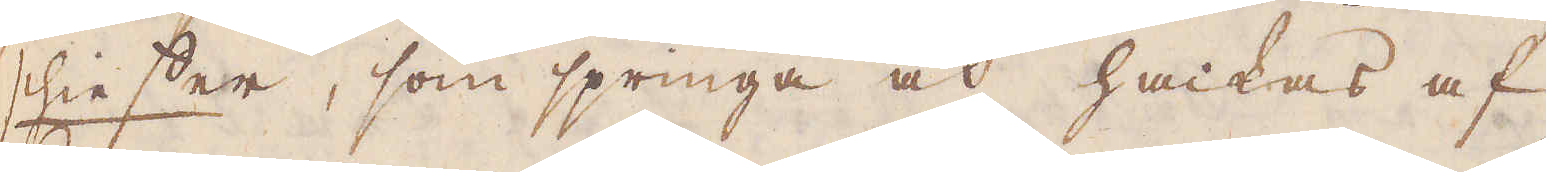schiesser, som springa och hackas af
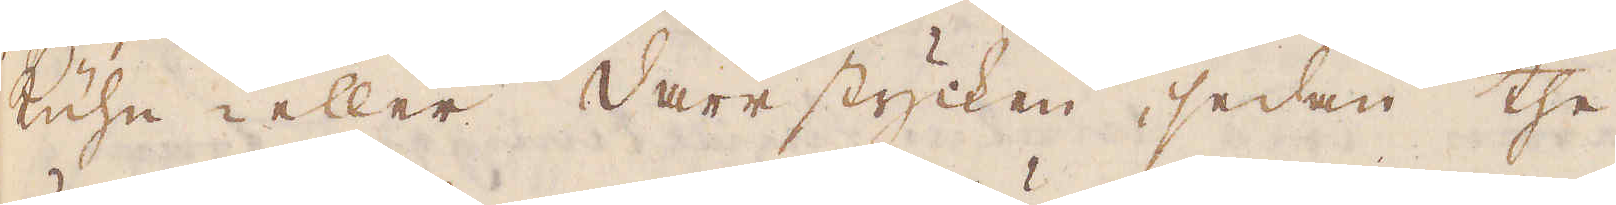kühn eller darrstycken, sedan the
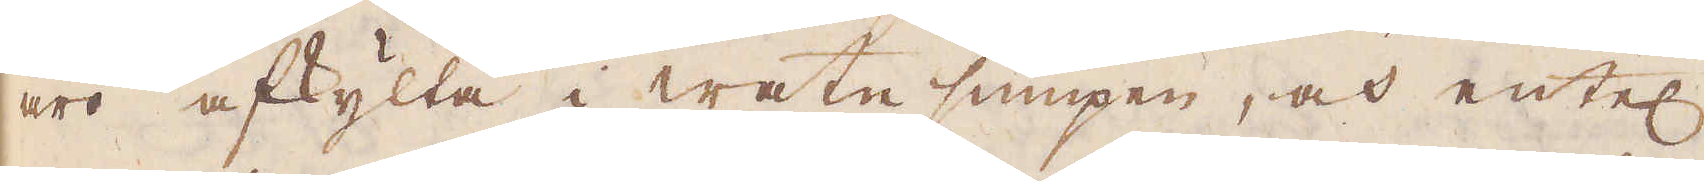äro afkylta i watu sumpen, och entel
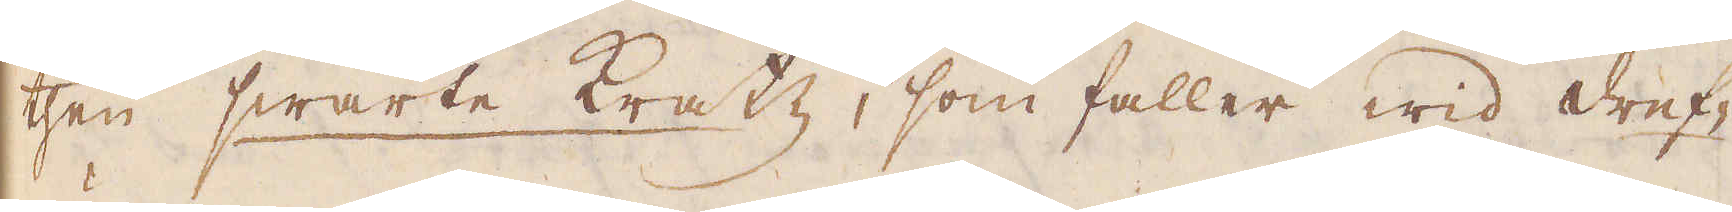then swarte kratz, som faller wid dref-
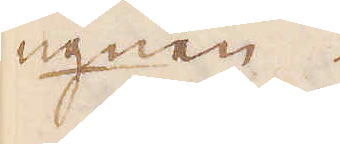ugnen.
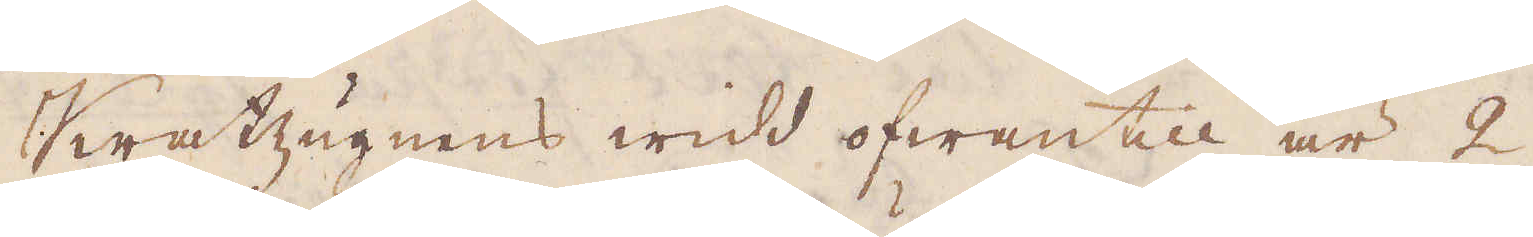Kratzugnens widd ofwantill är 2
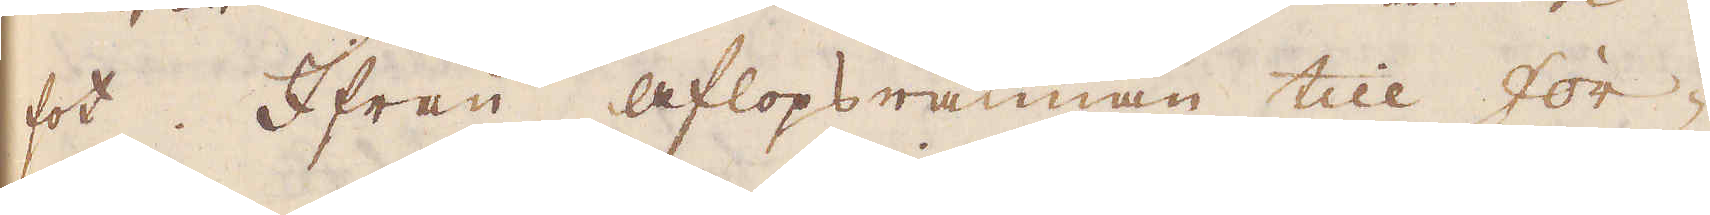fot. Ifrån aflopsrännan till for-
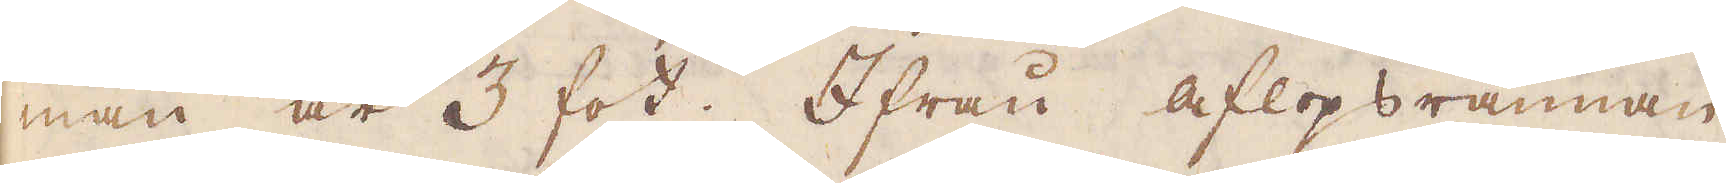man är 3 fot. Ifrån aflopsrännan,
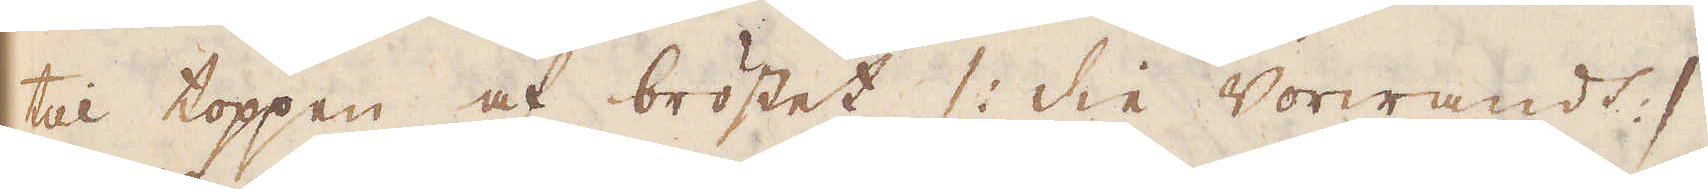till toppen af bröstet /: die Vorwandt :/
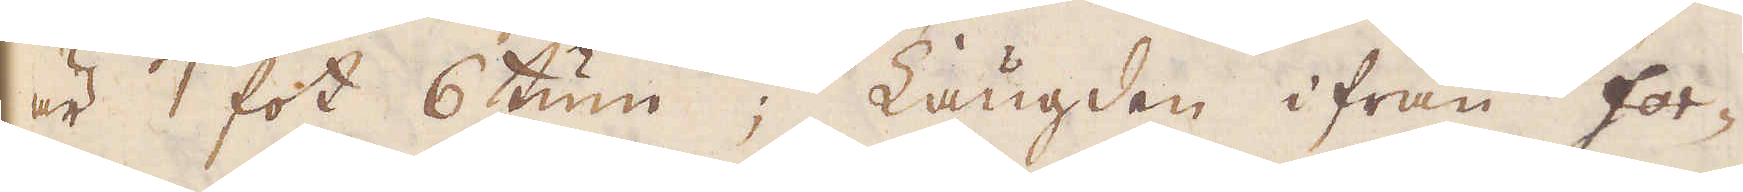är 7 fot 6 tum; Längden ifrån for-
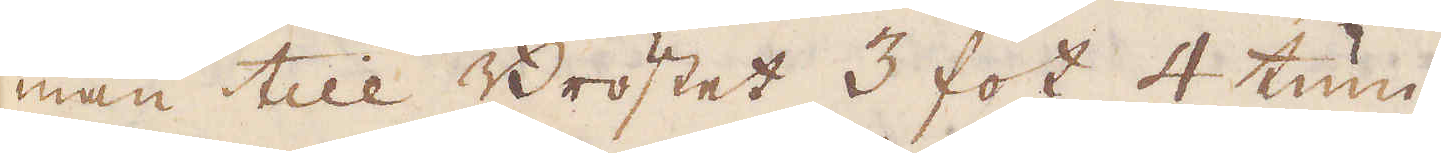man till Bröstet 3 fot 4 tum.
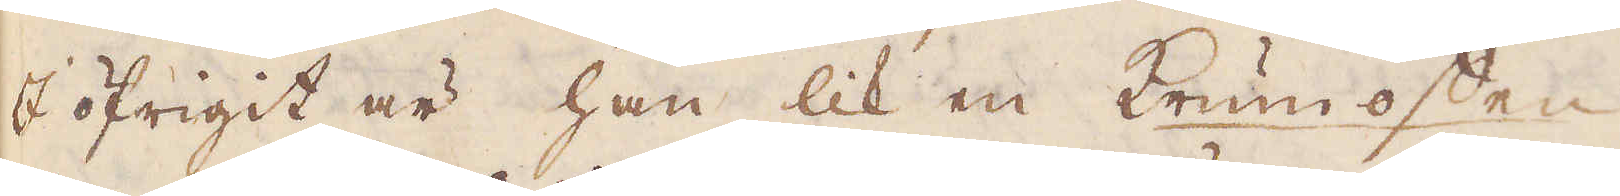I öfrigit är han lik en krumoffen
